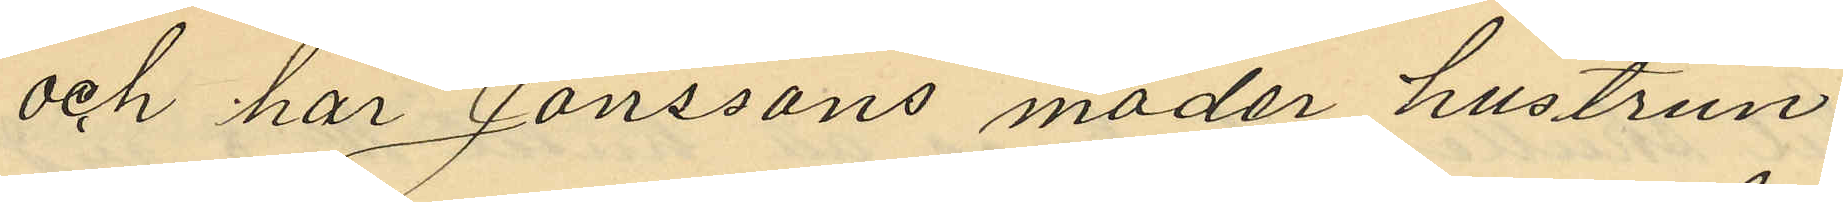och har Jönssons moder hustrun
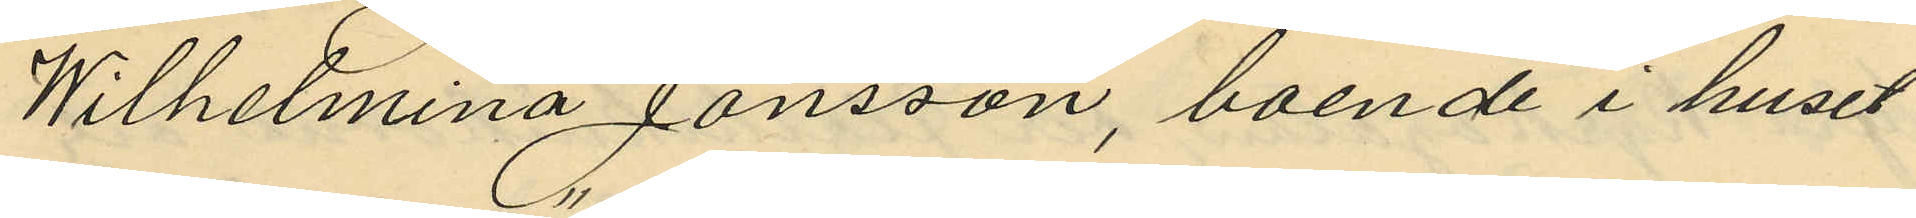Wilhelmina Jönsson, boende i huset
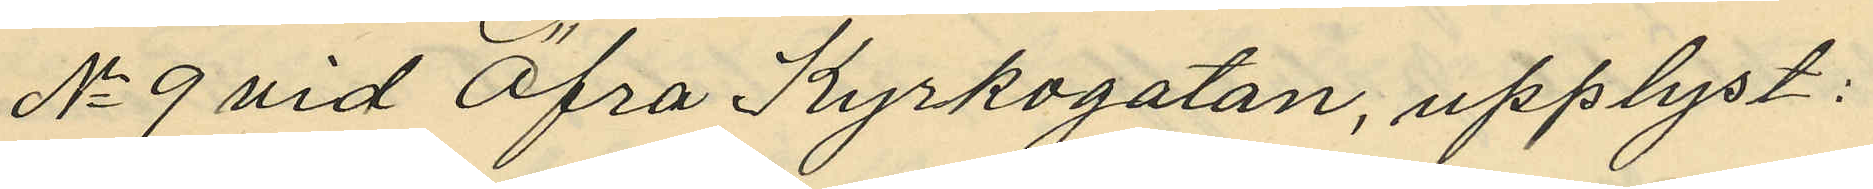No 9 vid Öfra Kyrkogatan, upplyst:
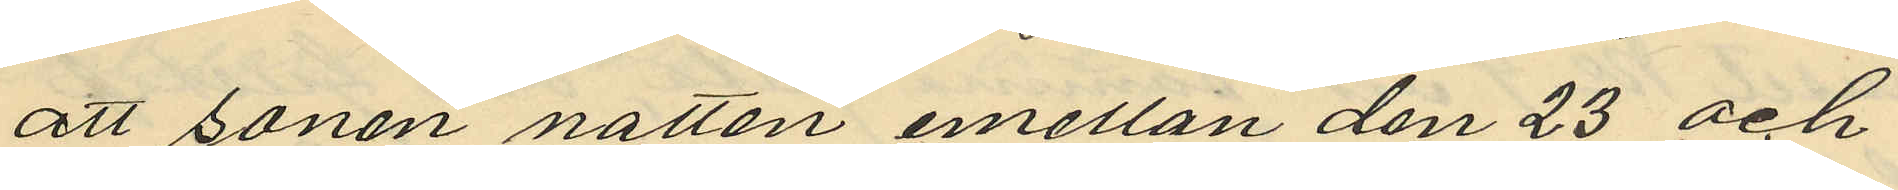att sonen natten emellan den 23 och
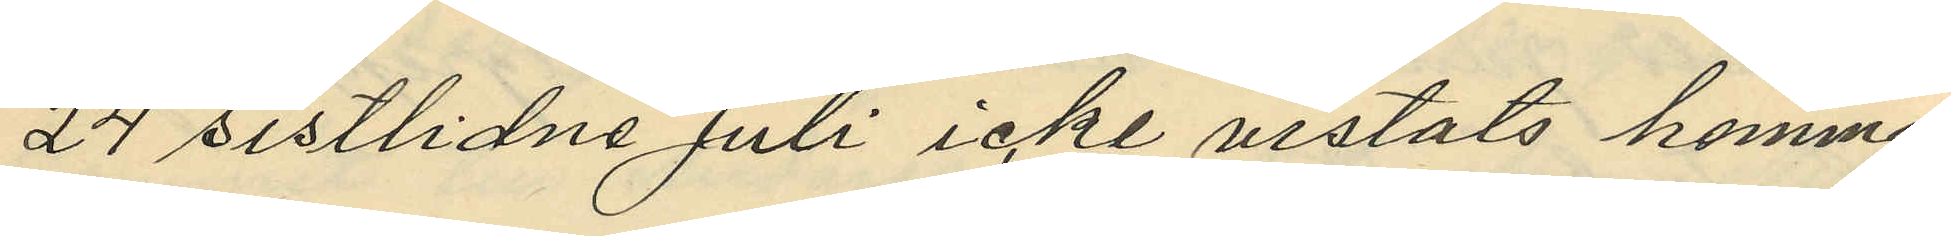24 sistlidne Juli icke vistats hemma
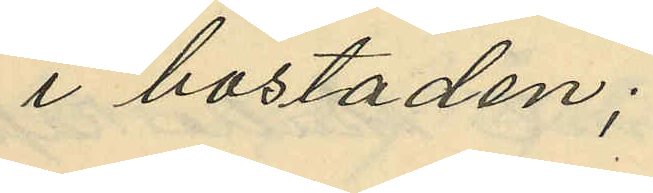i bostaden;
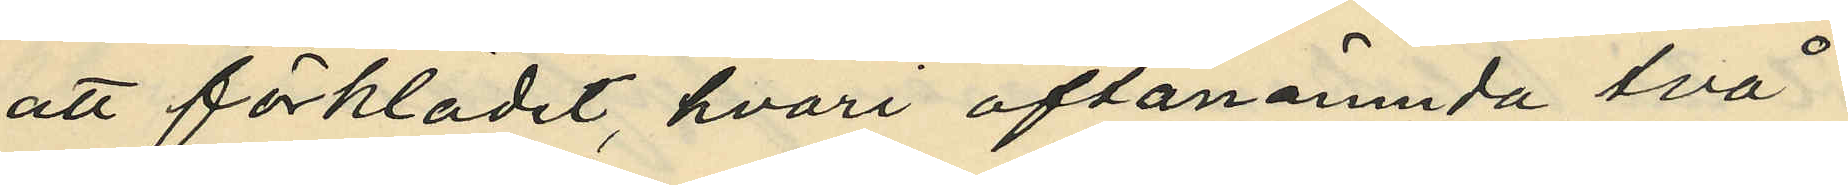att förklädet, hvari oftanämnda två
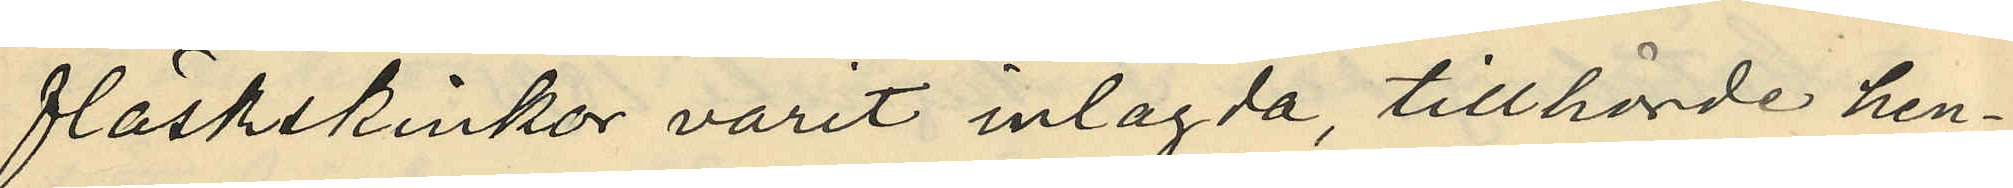fläskskinkor varit inlagda, tillhörde hen¬
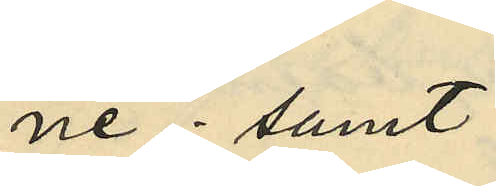ne; samt
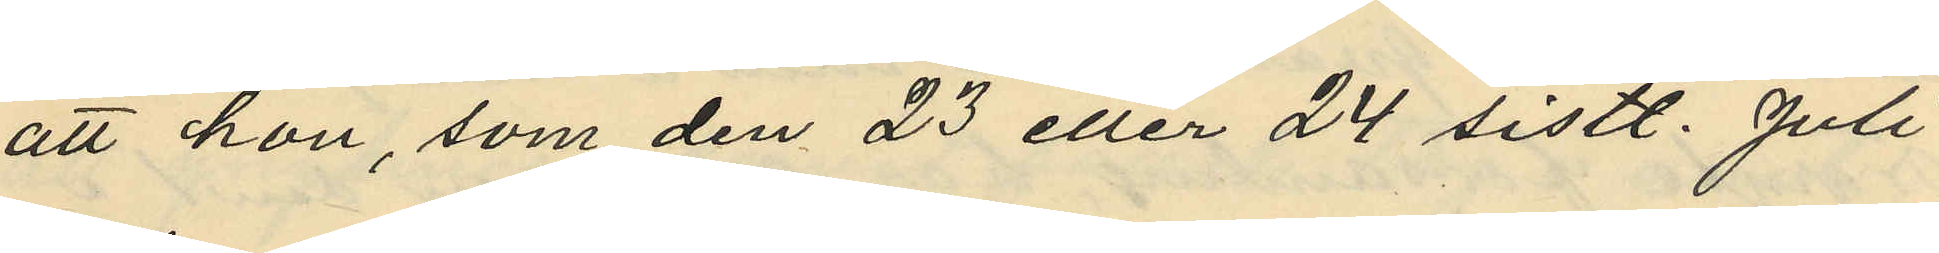att hon, som den 23 eller 24 sistl. Juli
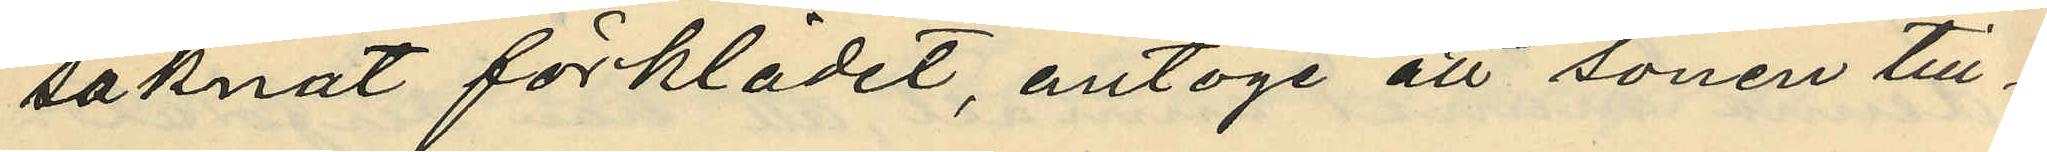saknat förklädet, antoge att sonen till¬
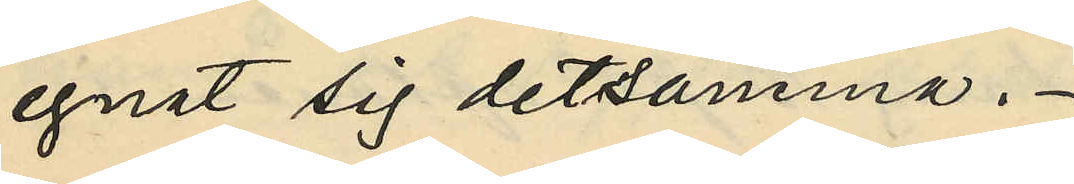egnat sig detsamma.
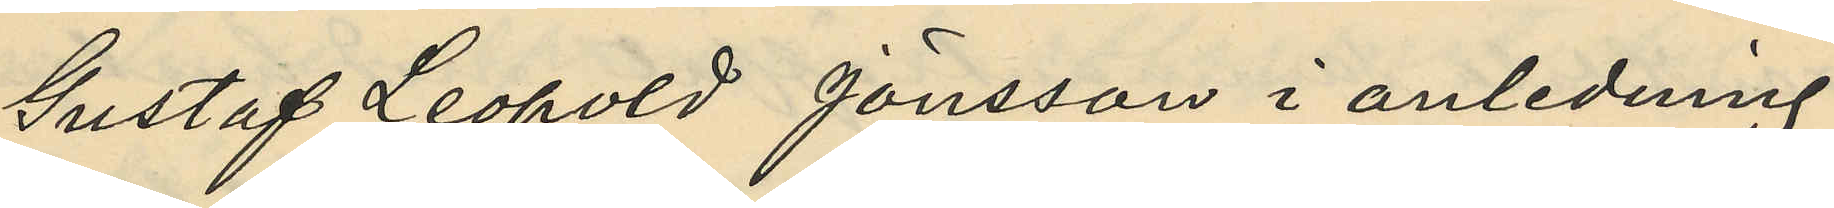Gustaf Leopold Jönsson i anledning
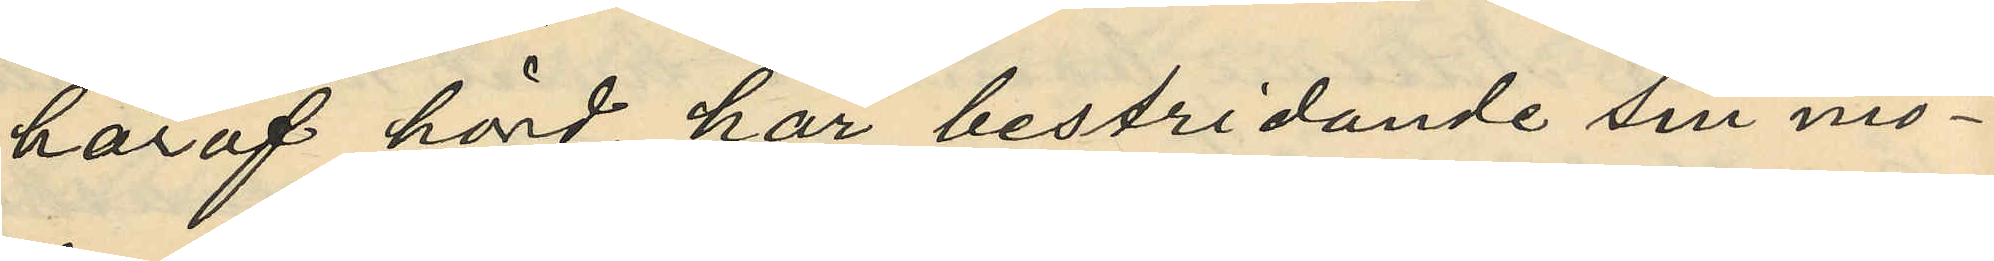häraf hörd, har bestridande sin mo¬
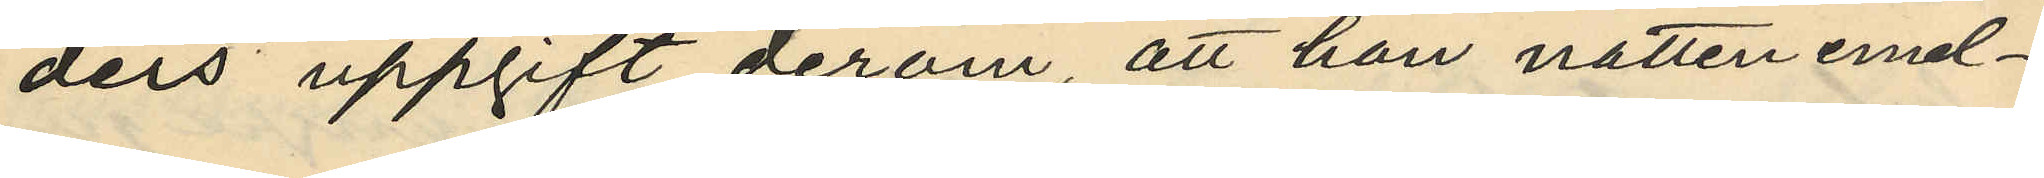ders uppgift derom att han natten emel¬
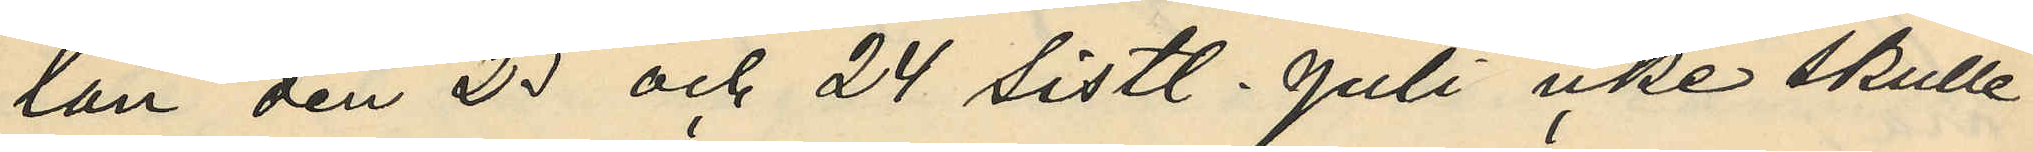tan den 23 och 24 sistl. Juli icke skulle
